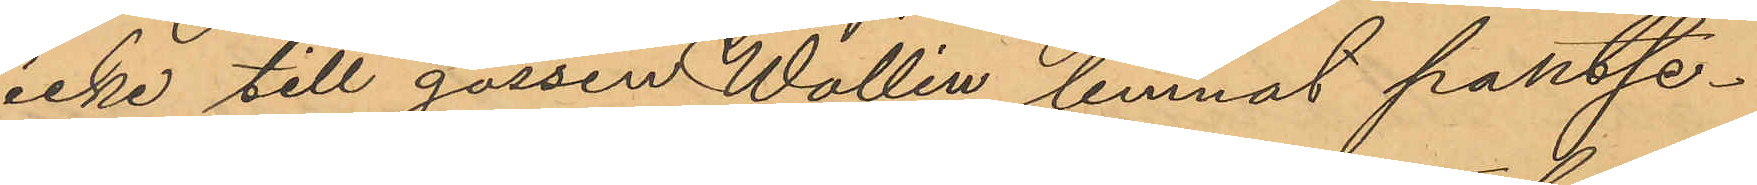icke till gossen Wallin lemnat pantse¬
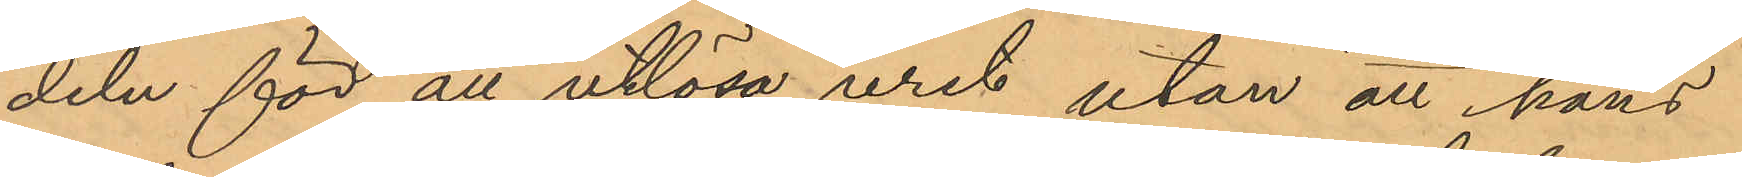deln för att utlösa uret utan att hans
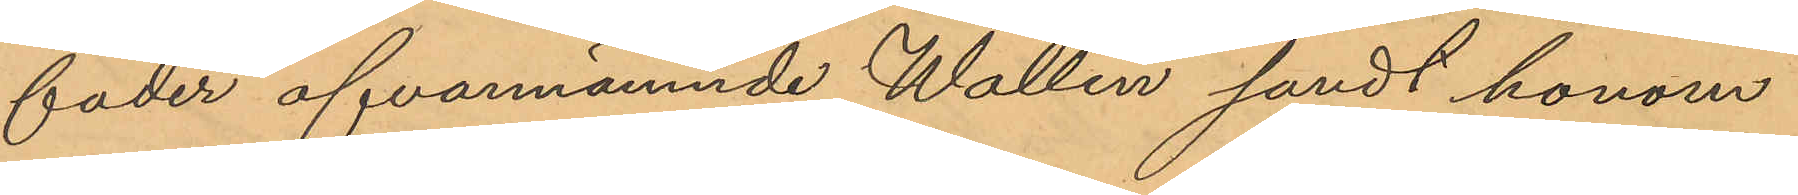fader ofvannämnde Wallin sändt honom
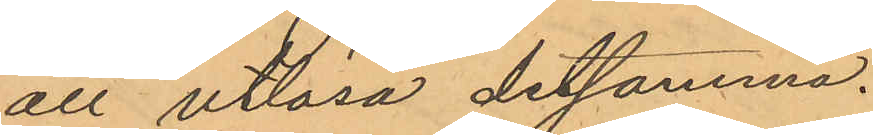att utlösa detsamma.
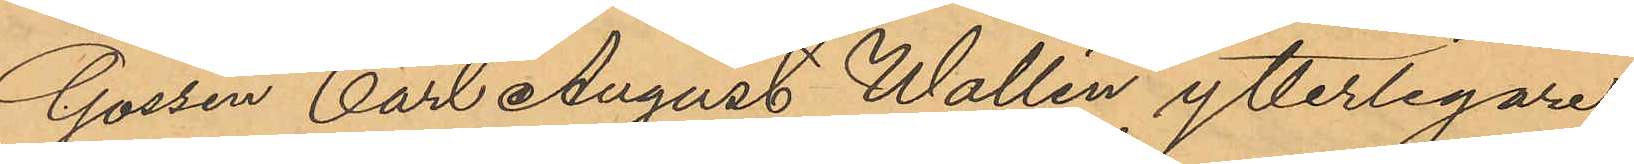Gossen Carl August Wallin ytterligare
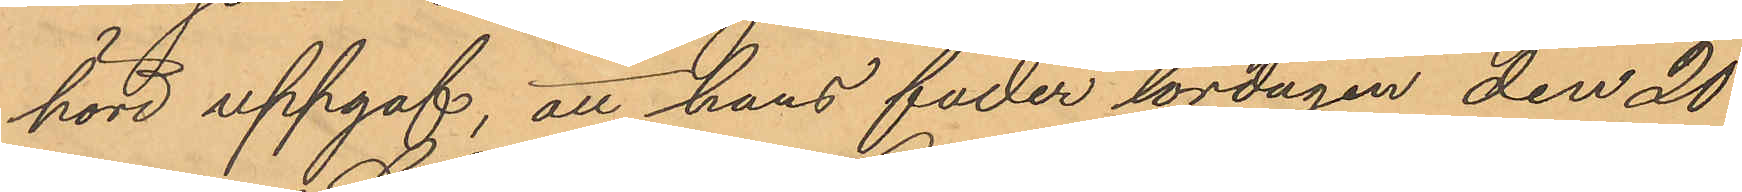hörd uppgaf, att hans fader lördagen den 20
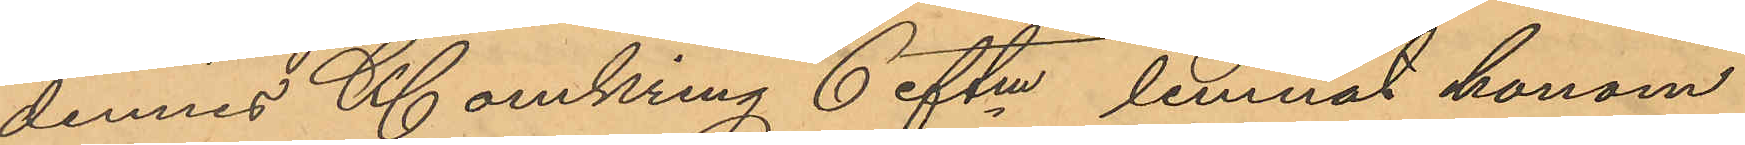dennes Kl omkring 6 eftm lemnat honom
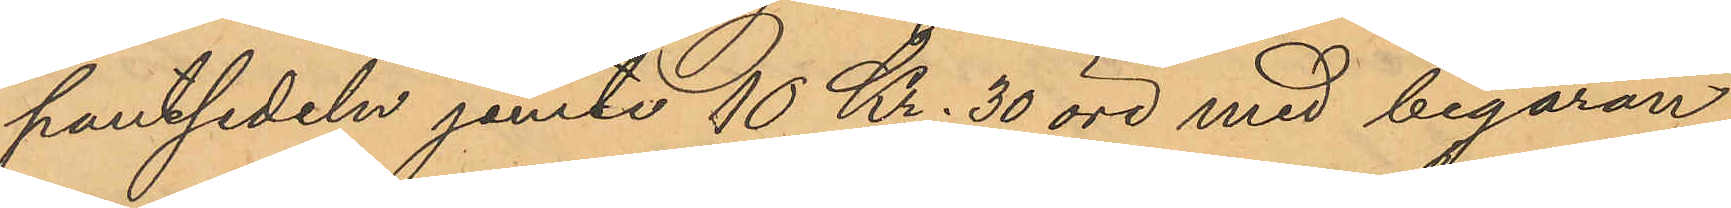pantsedeln jemte 10 Kr. 30 öre med begäran
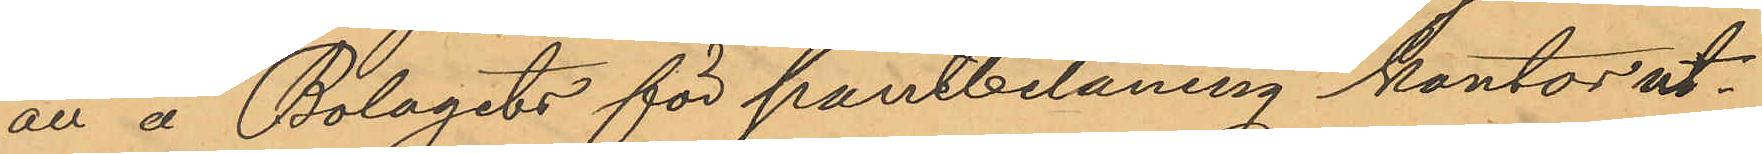att å Bolagets för pantbelåning kontor ut¬
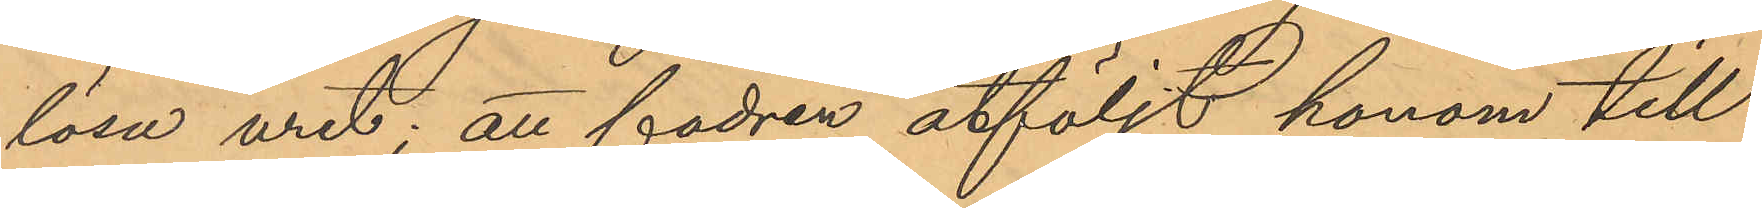lösa uret; att fadren åtföljt honom till
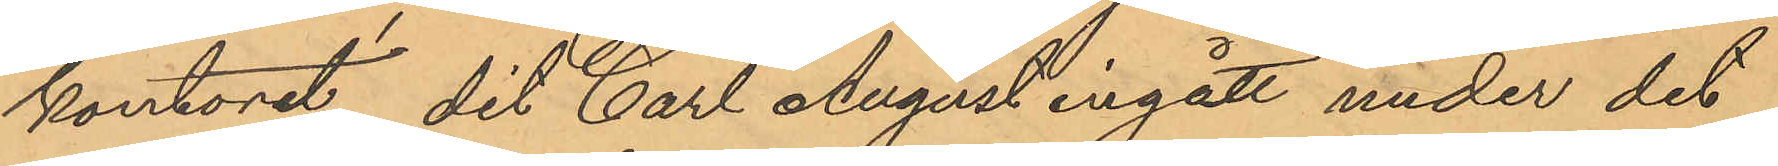kontoret, dit Carl August ingått under det
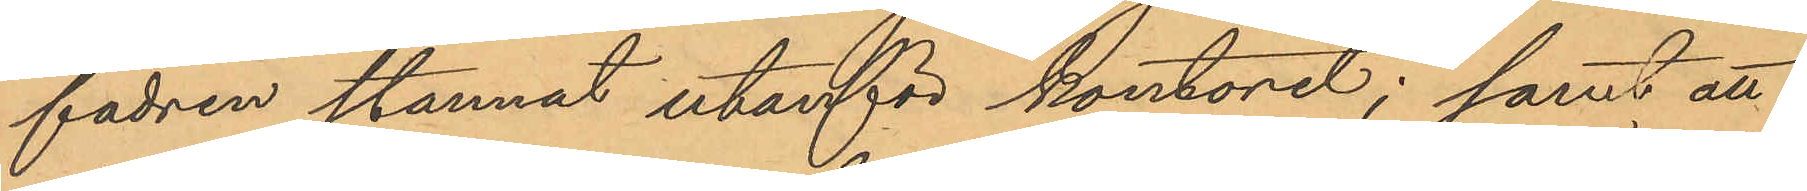fadren stannat utanför kontoret; samt att
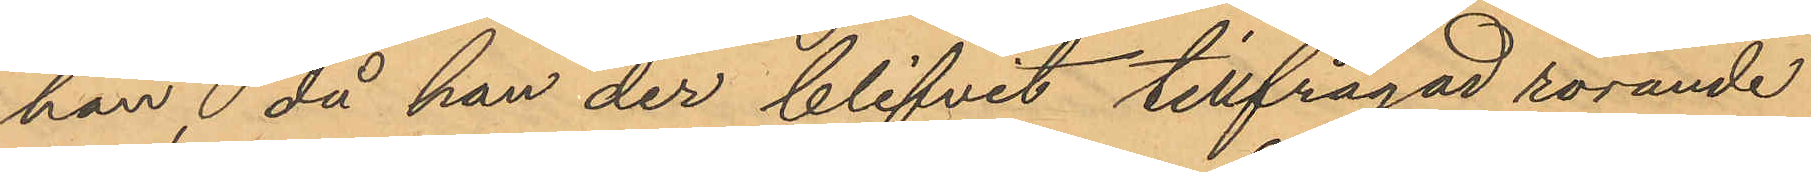han då han der blifvit tillfrågad rörande
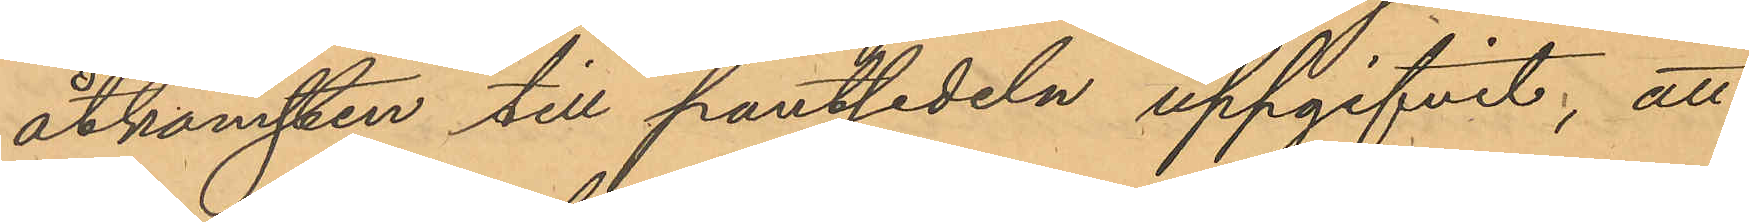åtkomsten till pantsedeln uppgifvit, att
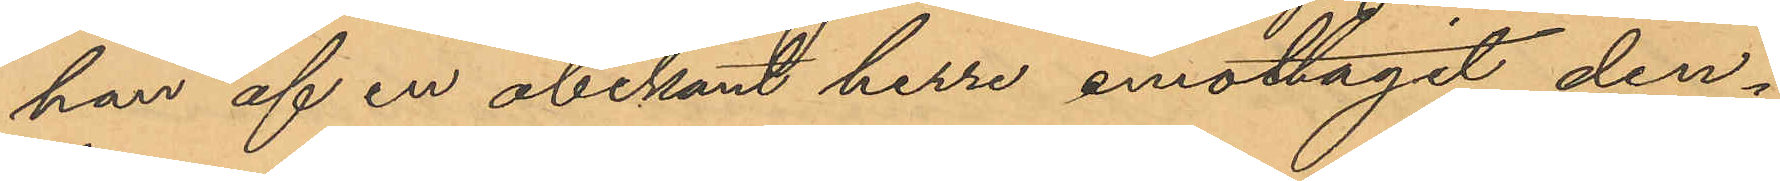han af en obekant herre emottagit den¬
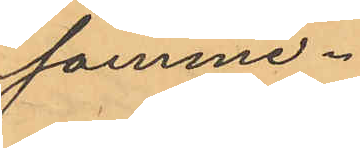sammme.
